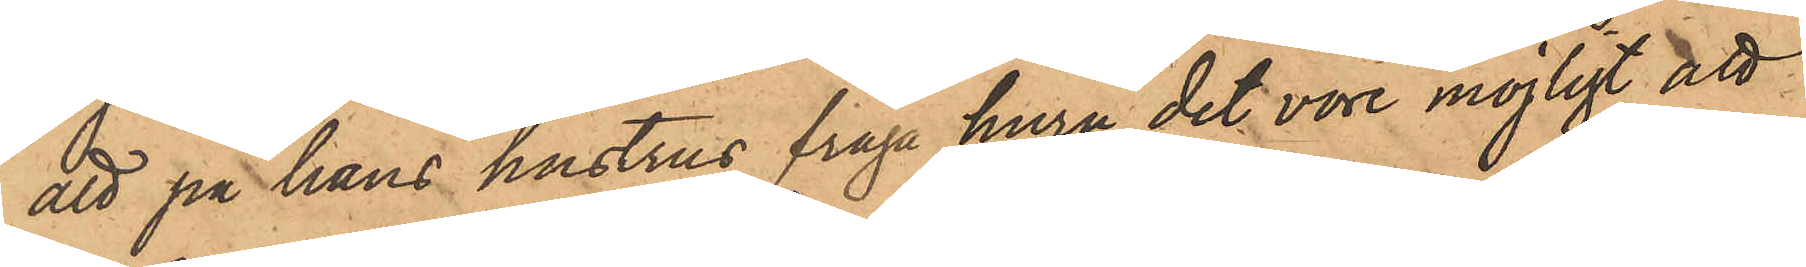att på hans hustrus fråga huru det vore möjligt att
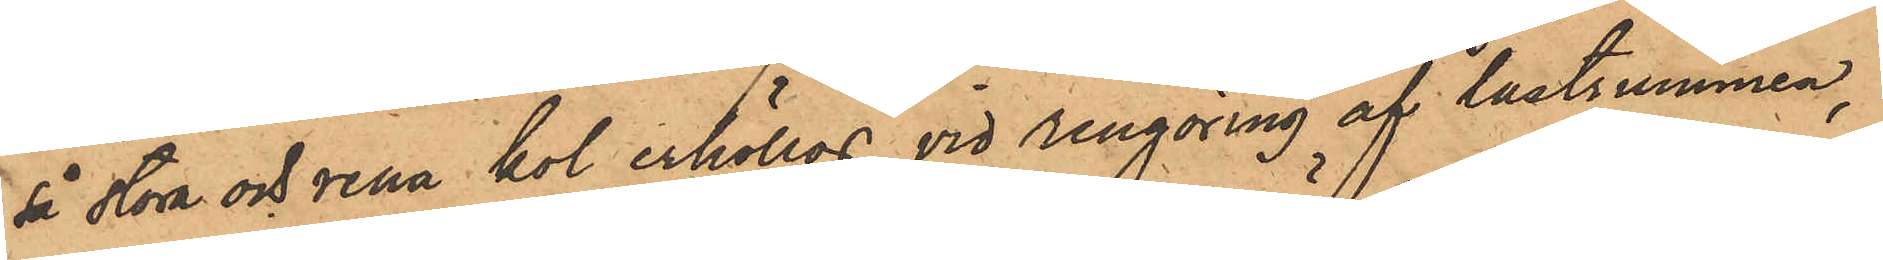så stora och rena kol erhöllos vid rengöring af lastrummen,
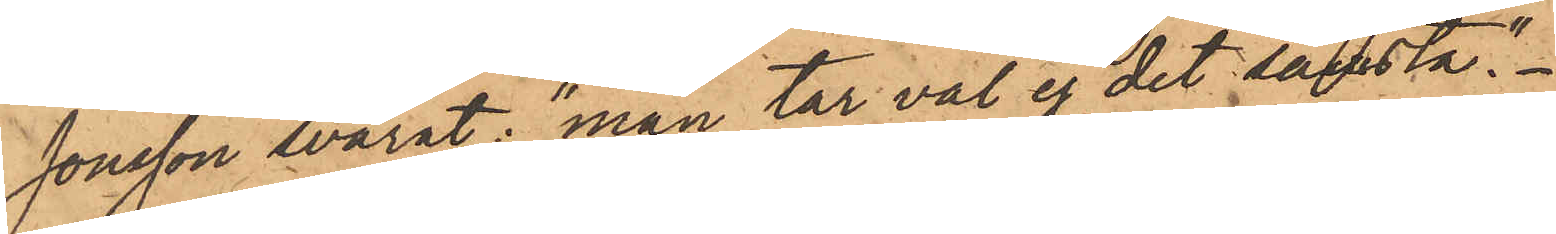Jonsson svarat: "man tar väl ej det sämsta."
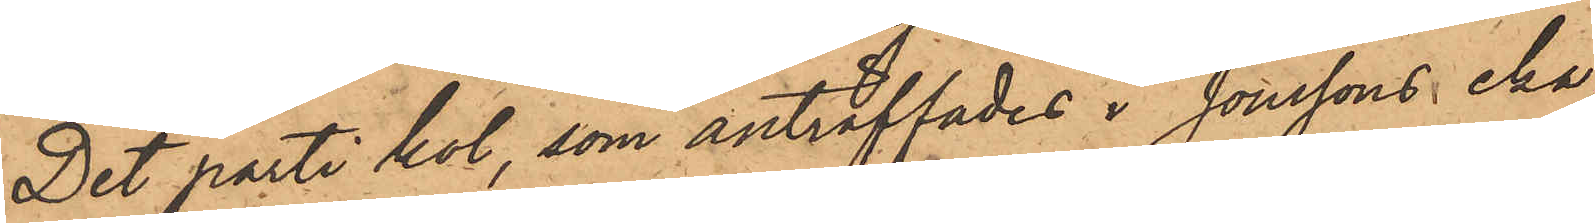Det parti kol, som anträffades i Jonssons eka,
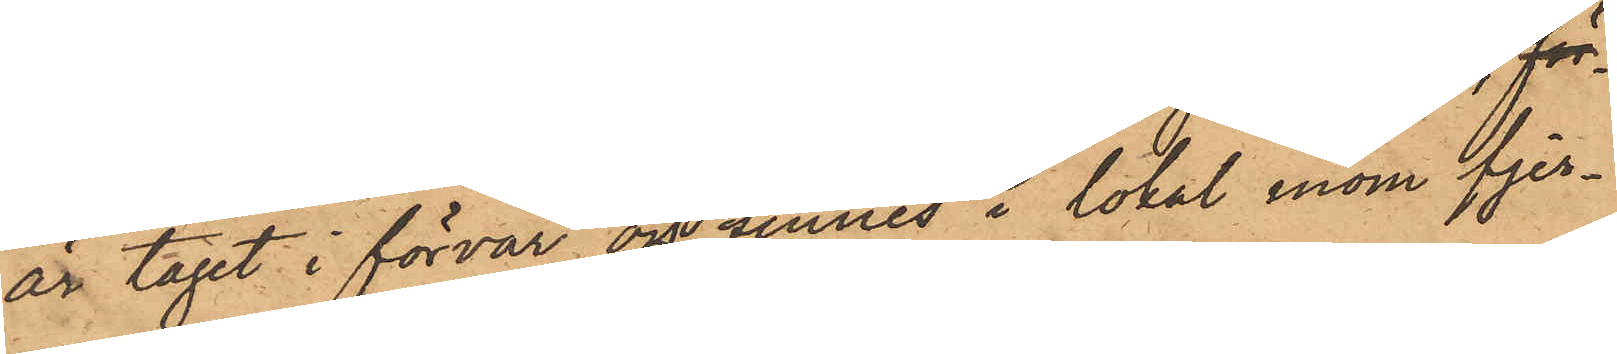är tagit i förvar och finnes i lokal inom fjer¬
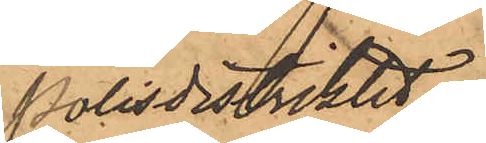Polisdistriktet.
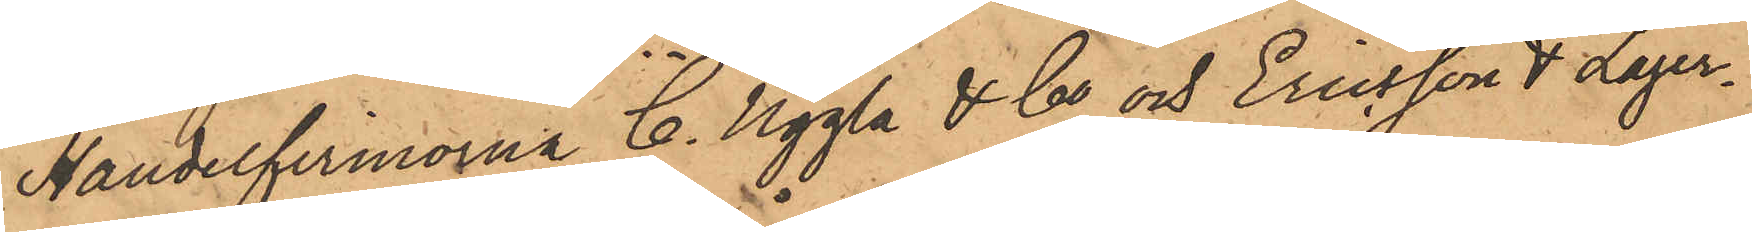Handelfirmorna C. Uggla & Co och Eriksson & Lager¬
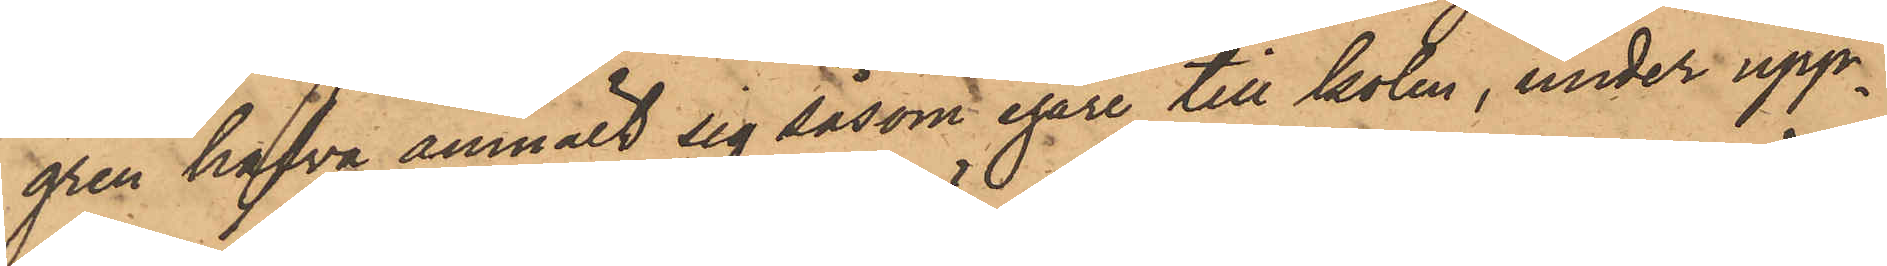gren hafva anmält sig såsom egare till kolen, under upp¬
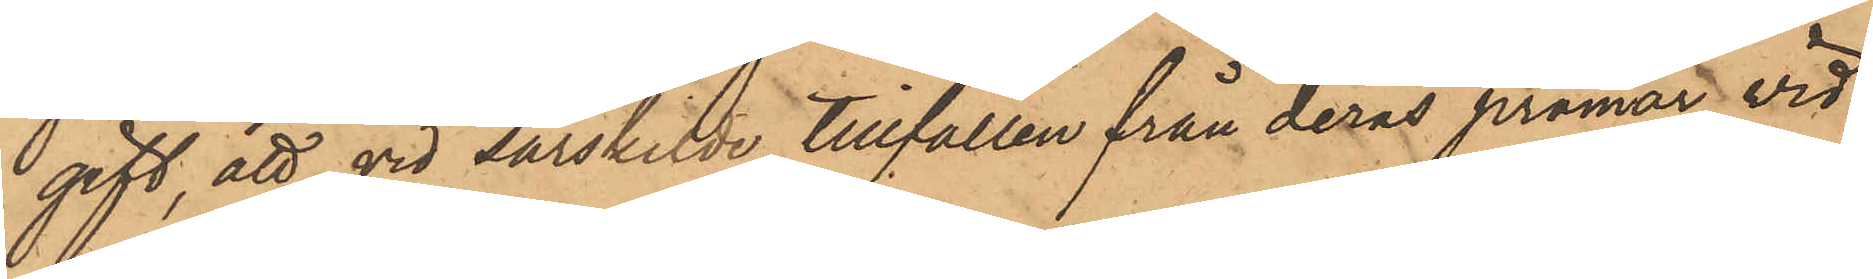gift, att vid särskilde tillfällen från deras pråmar vid
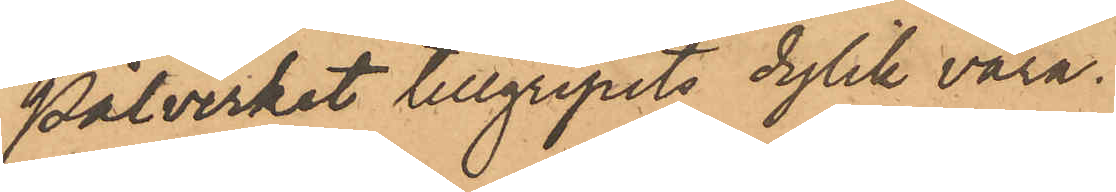Pålverket tillgripits dylik vara.
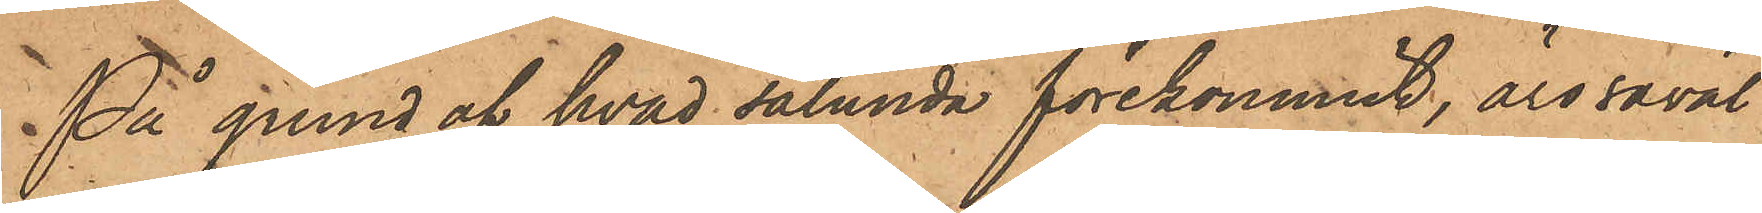På grund af hvad sålunda förekommit, äro såväl
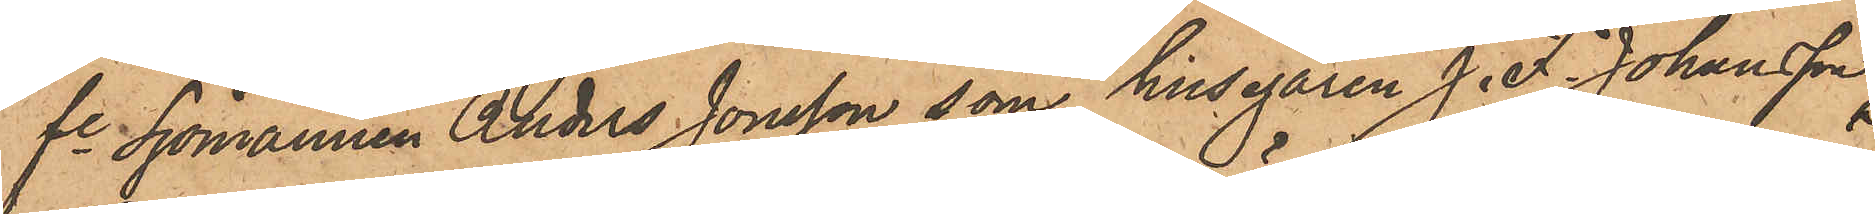fe Sjömannen Anders Jonsson, som husegaren J. F. Johansson,
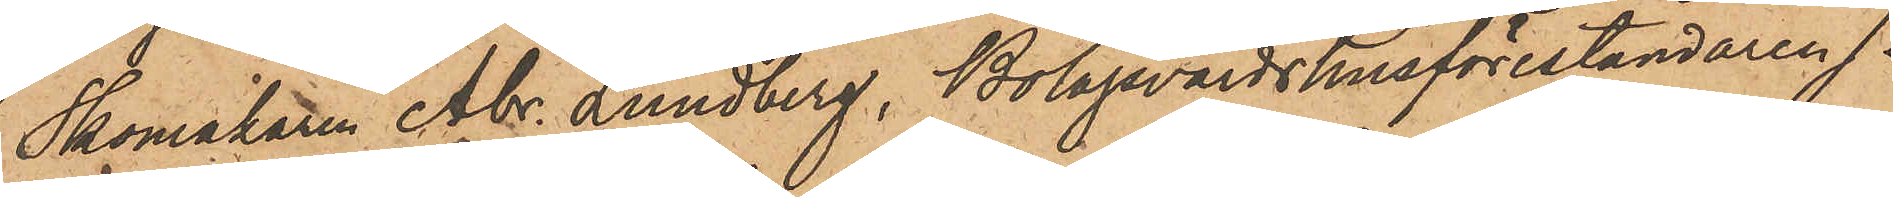Skomakaren Abr. Lundberg, Bolagsvärdshusföreståndaren J.
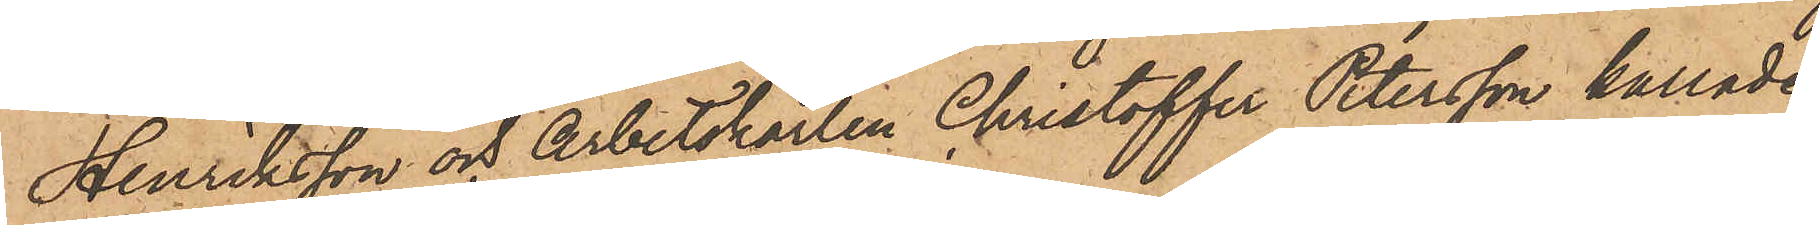Henriksson och Arbetskarlen Christoffer Petersson kallade
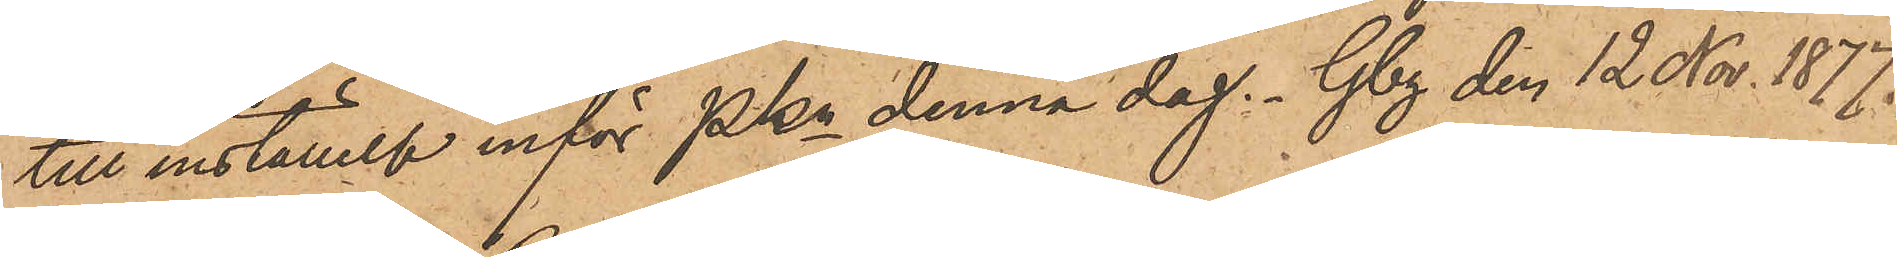till inställelse inför Pkn denna dag. Gbg den 12 Nov. 1877.
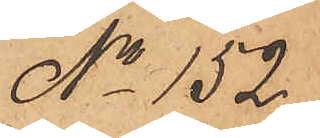No 152
